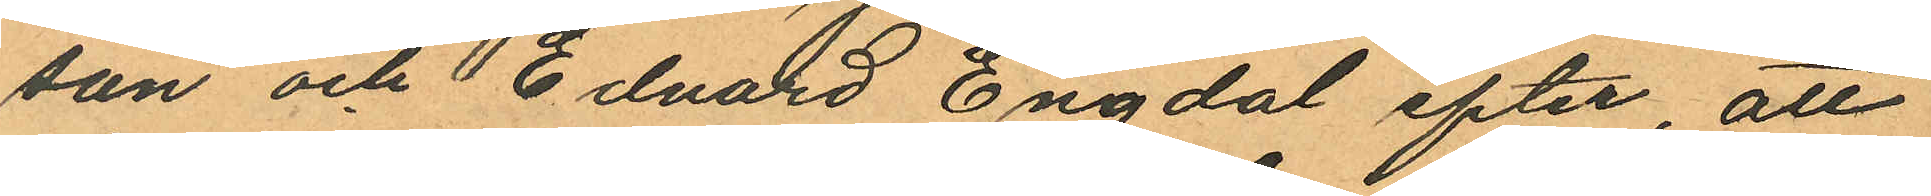son och Edvard Engdal efter, att
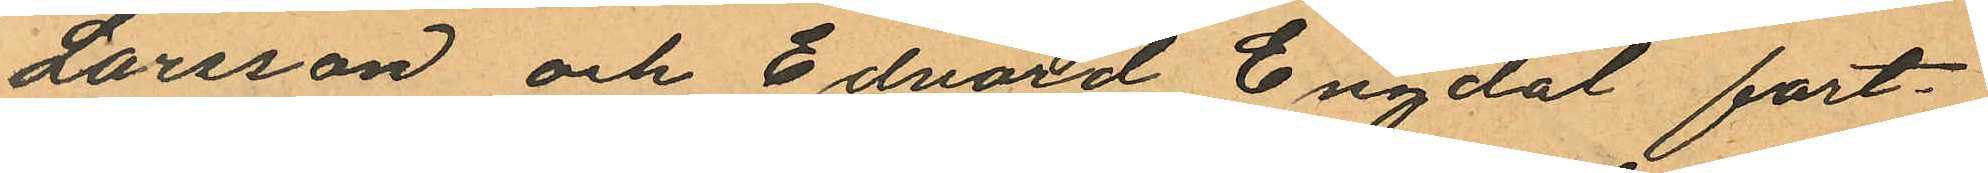Larsson och Edvard Engdal fort¬
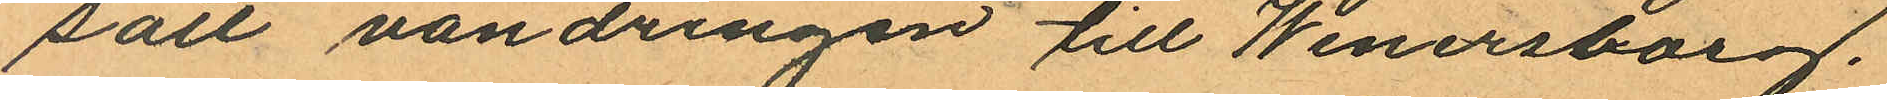satt vandringen till Wenersborg.
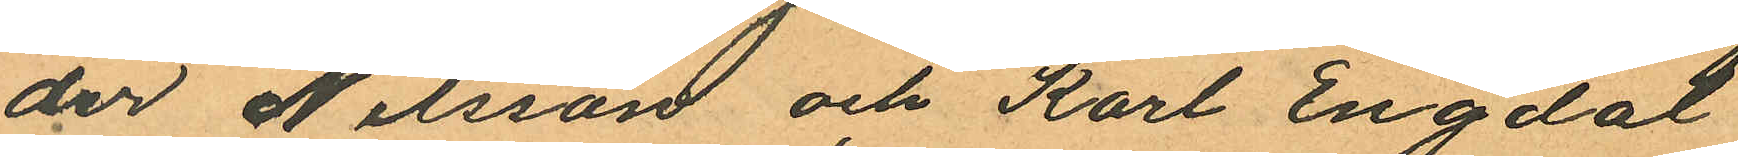der Nilsson och Karl Engdal
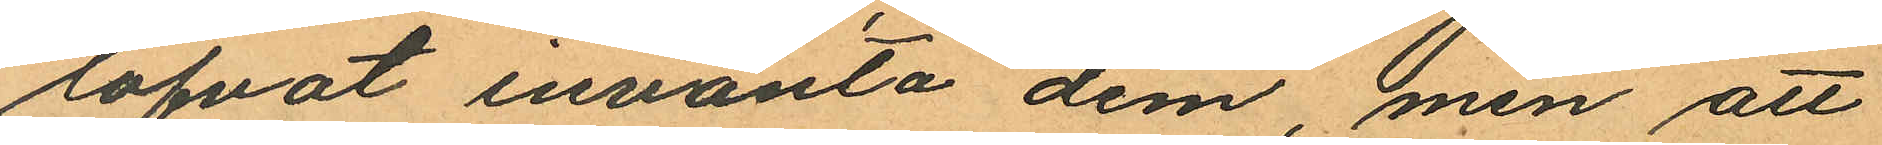lofvat invänta dem, men att
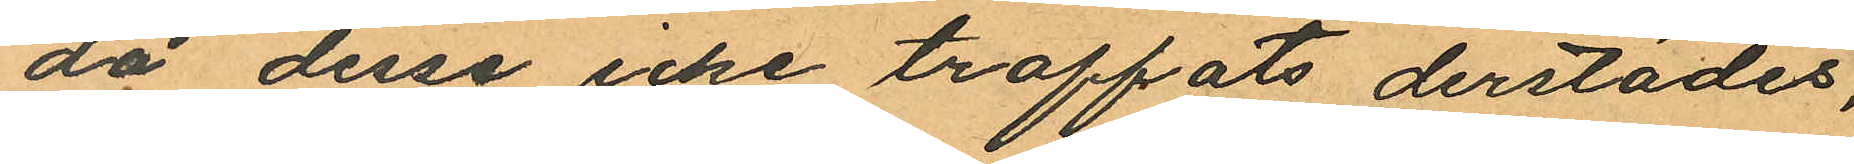då dessa icke traffats derstädes,
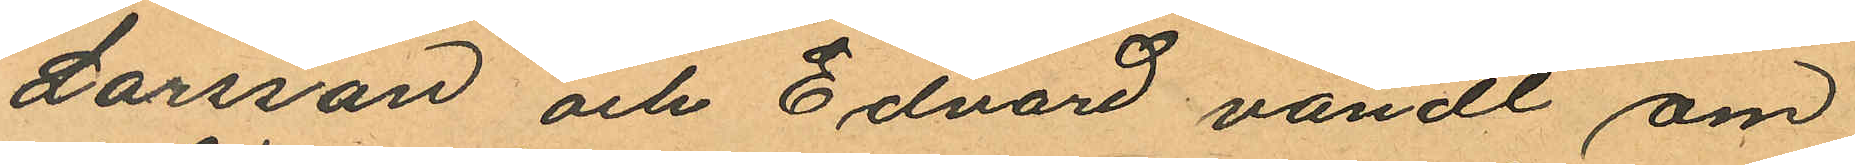Larsson och Edvard vändt om
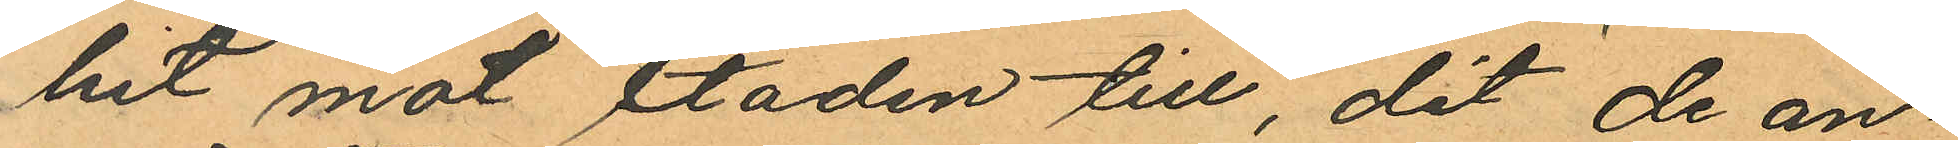hit mot staden till, dit de an¬
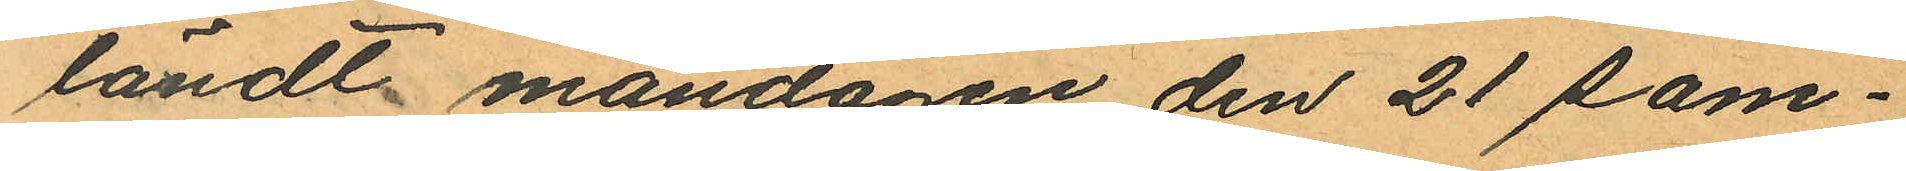ländt måndagen den 21 sam¬
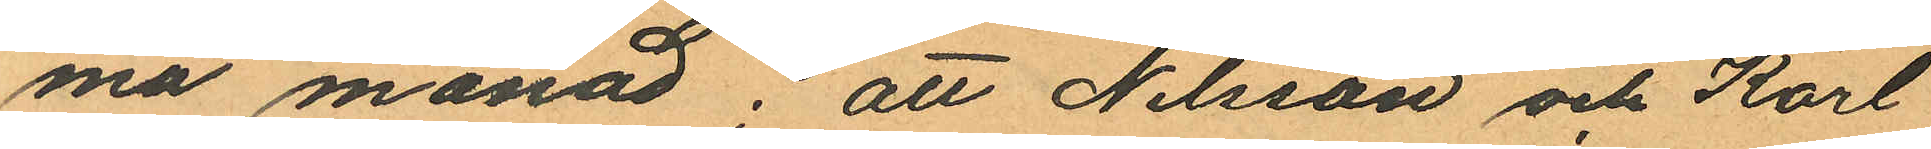ma månad; att Nilsson och Karl
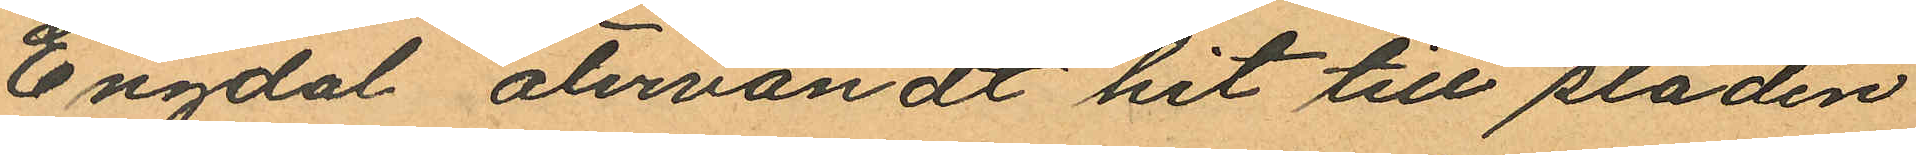Engdal återvändt hit till staden
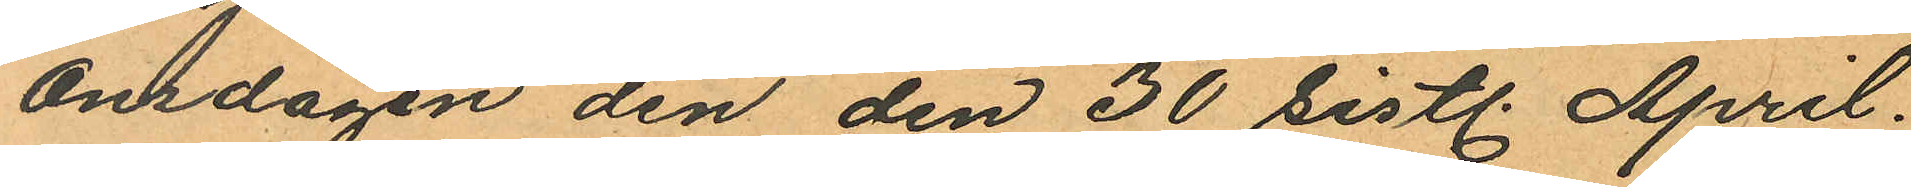onsdagen den den 30 sistl. April.
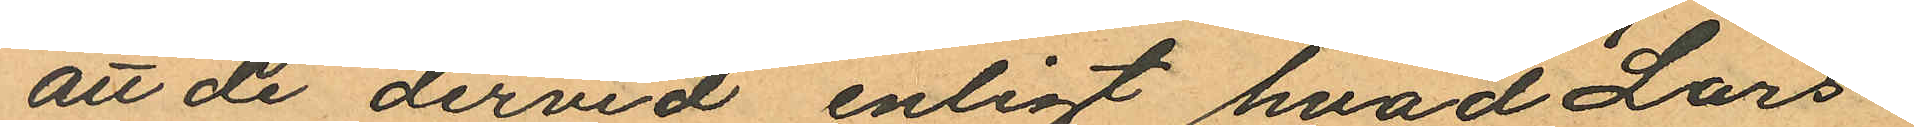att de dervid enligt hvad Lars
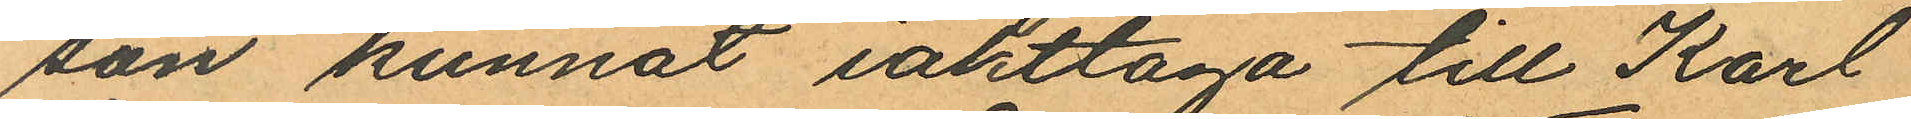son kunnat iakttaga till Karl
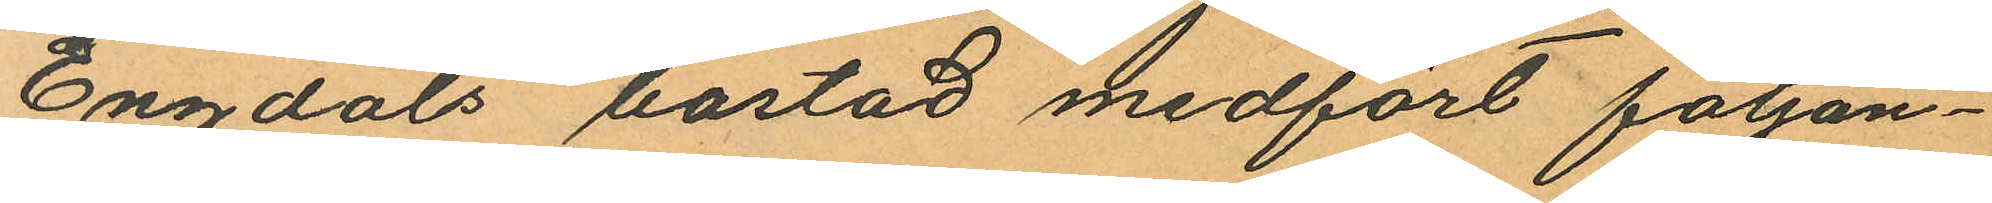Engdals bostad medfört följan¬
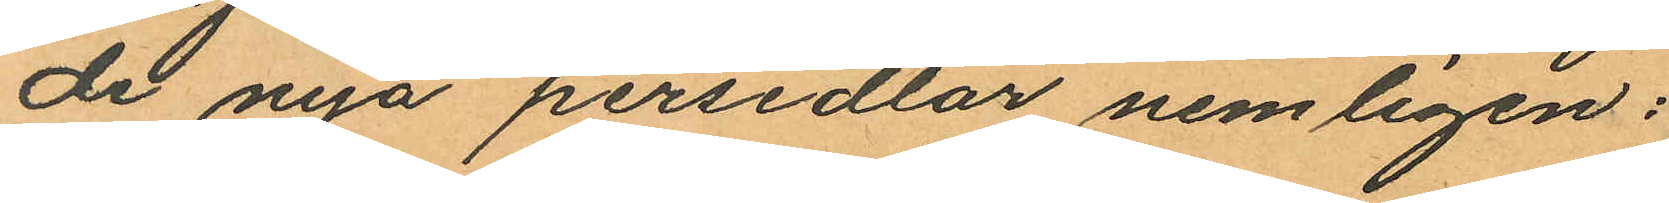de nya persedlar nemligen:
